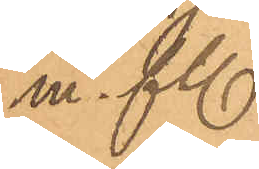m. fl.
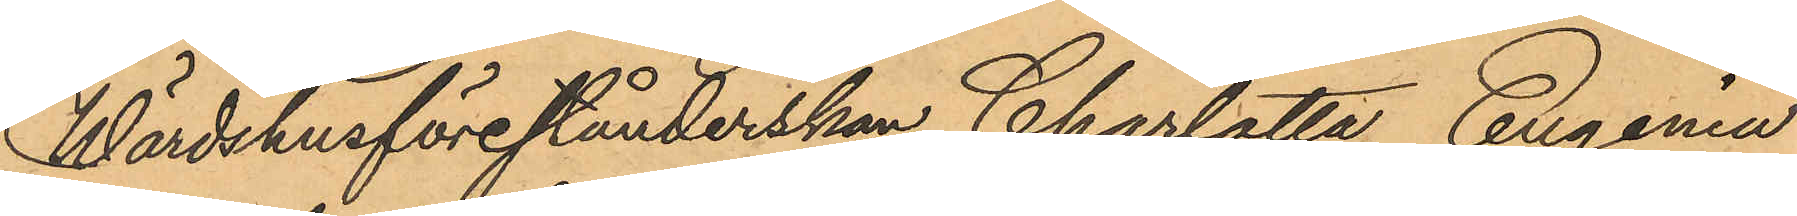Wärdshusförestånderskan Charlotta Eugenia
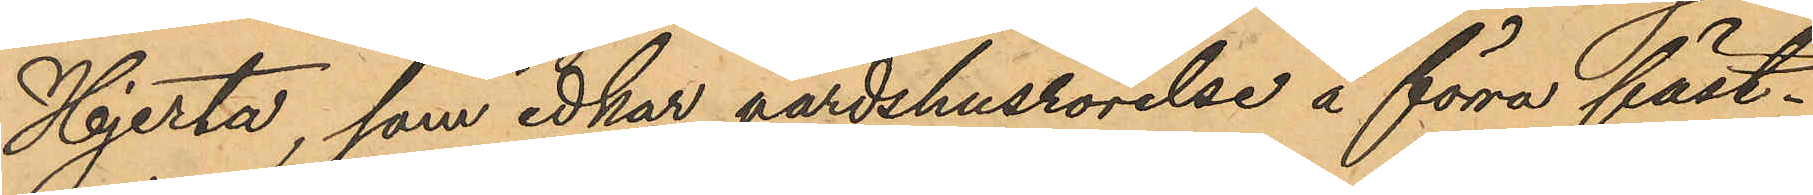Hjerta, som idkar värdshusrörelse å förra fäst¬
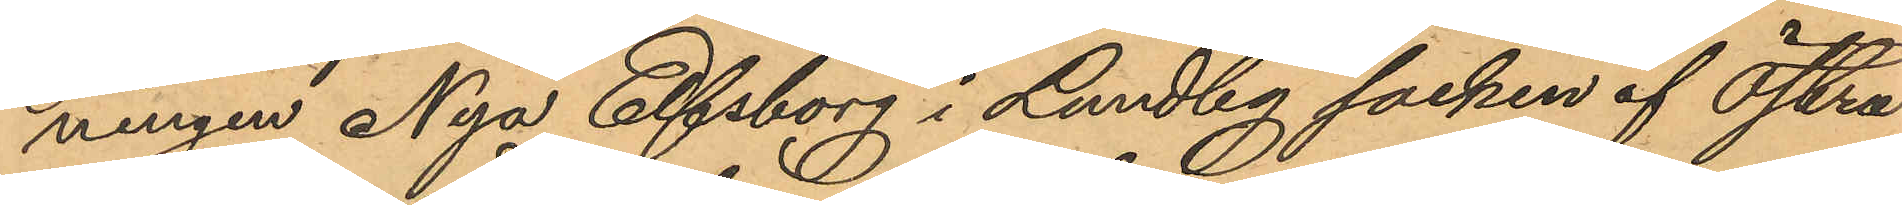ningen Nya Elfsborg i Lundby socken af Östra
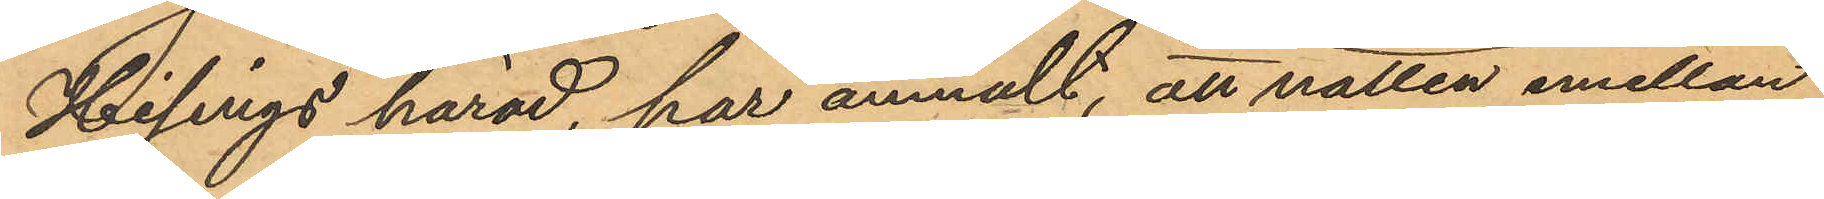Hisings härad, har anmält, att natten emellan
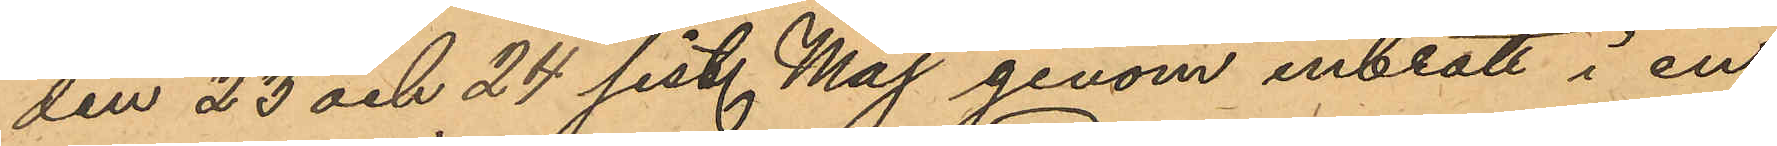den 23 och 24 sist. Maj genom inbrott i en
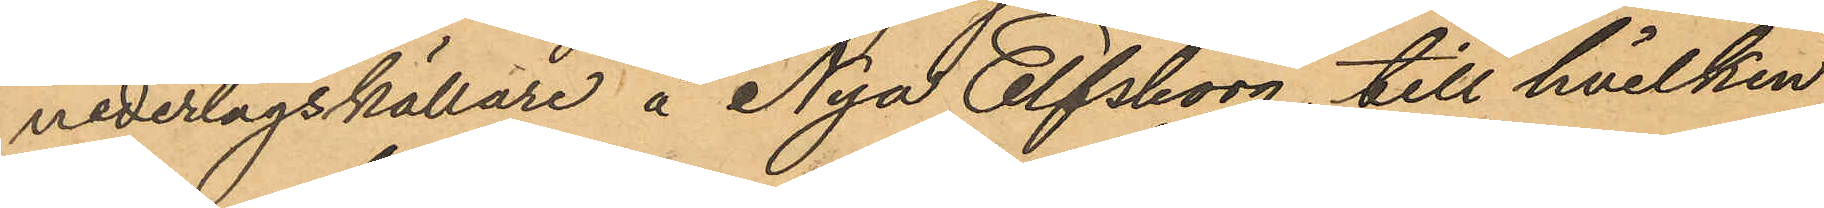nederlagskällare å Nya Elfsborg, till hvilken
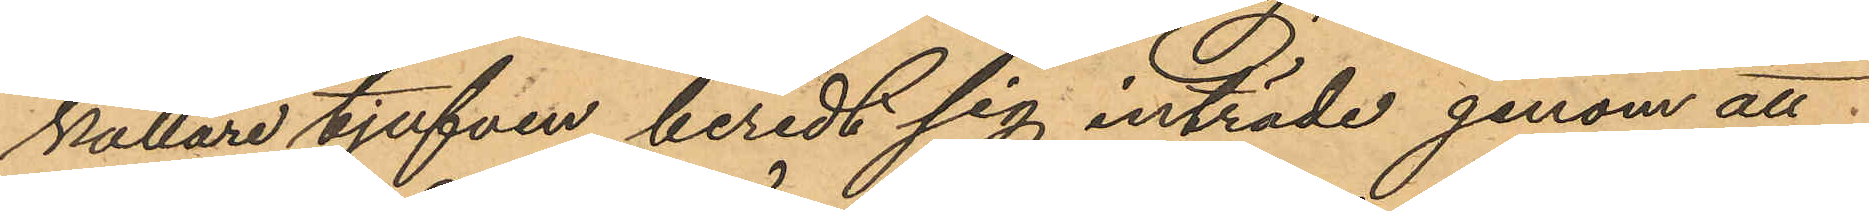källare tjufven beredt sig inträde genom att
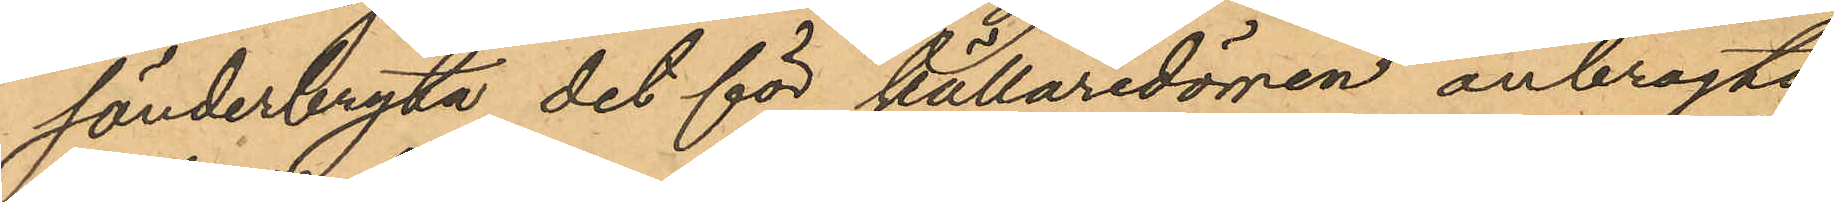sönderbryta det för källaredörren anbragta
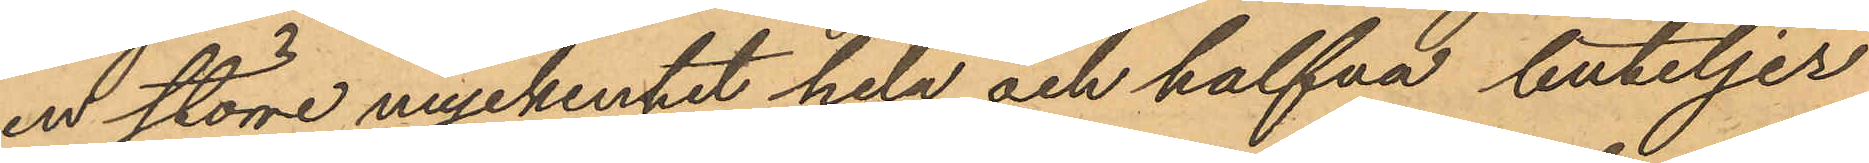en större myckenhet hela och halfva buteljer
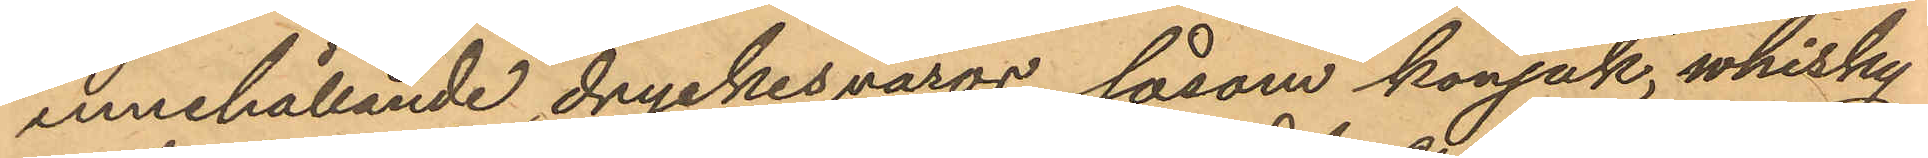innehållande dryckesvaror, såsom konjak, whisky
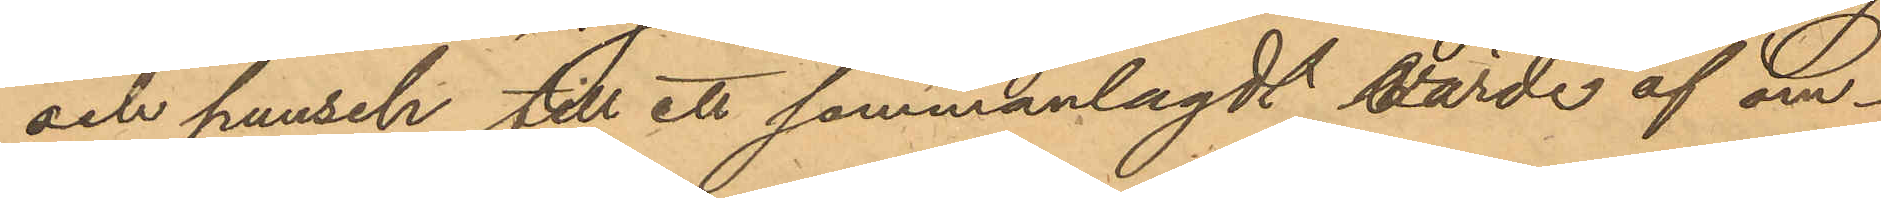och punsch till ett sammanlagdt värde af om¬
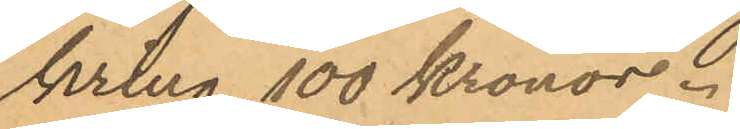kring 100 kronor.
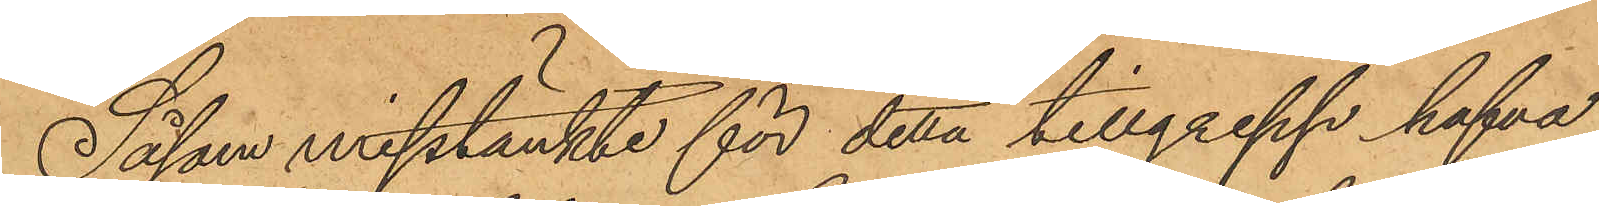Såsom misstänkte för detta tillgrepp hafva
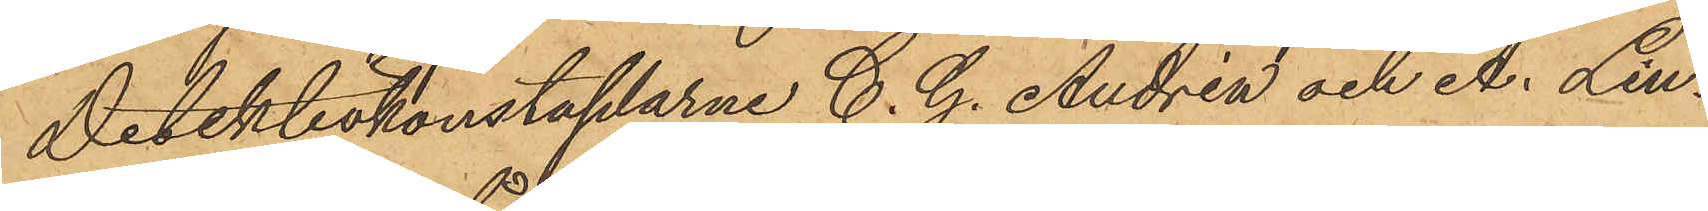Detektivkonstaplarne C. G. Andréa och A. Lin¬
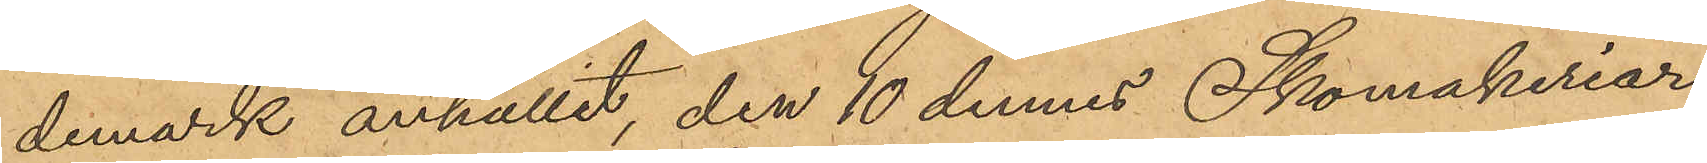demark anhållit, den 10 dennes Skomakeriar¬
